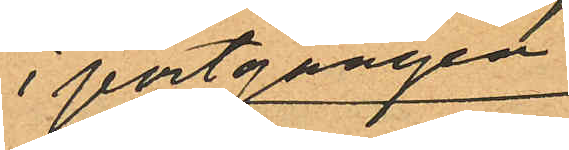i portgången
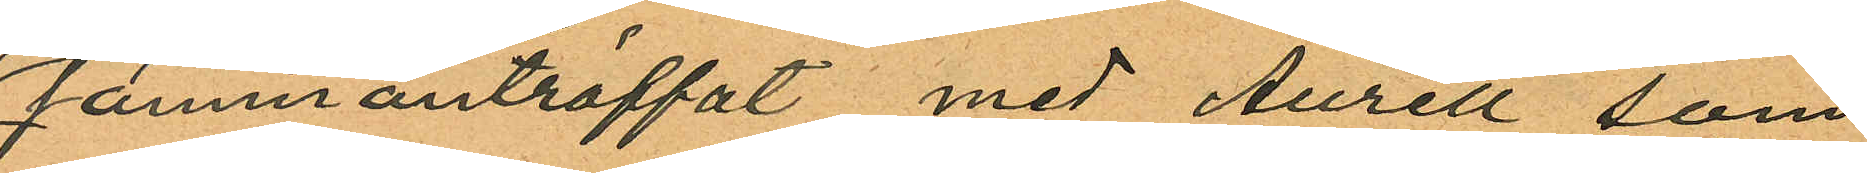sammanträffat med Aurell som
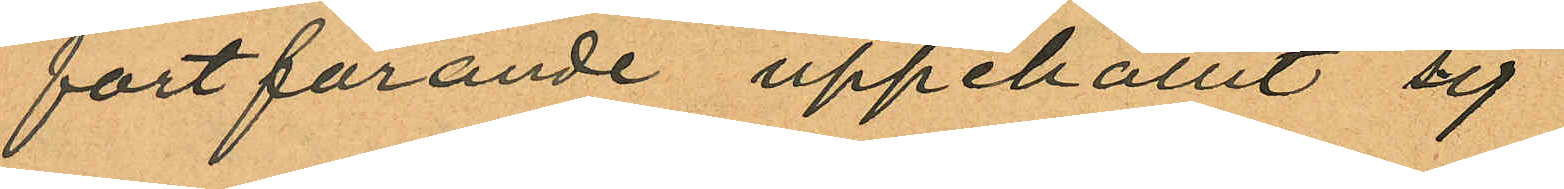fortfarande uppehållit sig
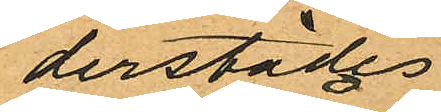derstädes
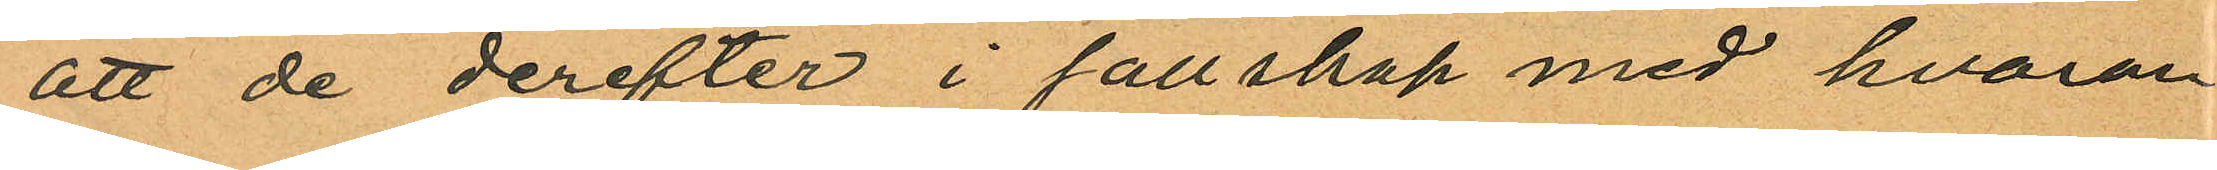att de derefter i sällskap med hvaran
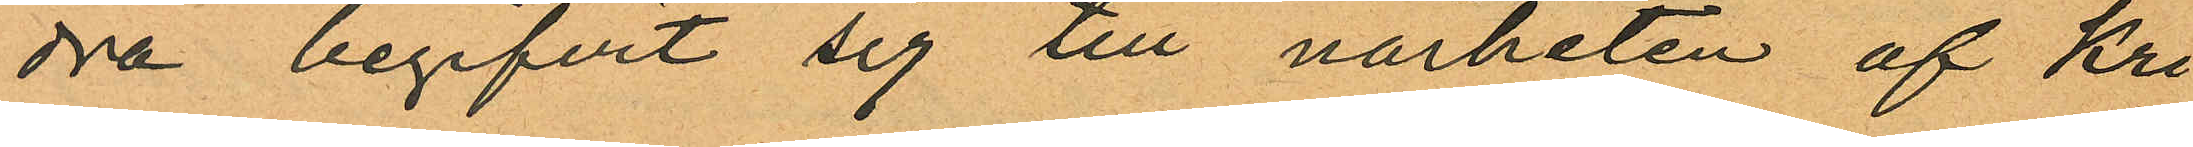dra begifvit sig till närheten af Kri¬
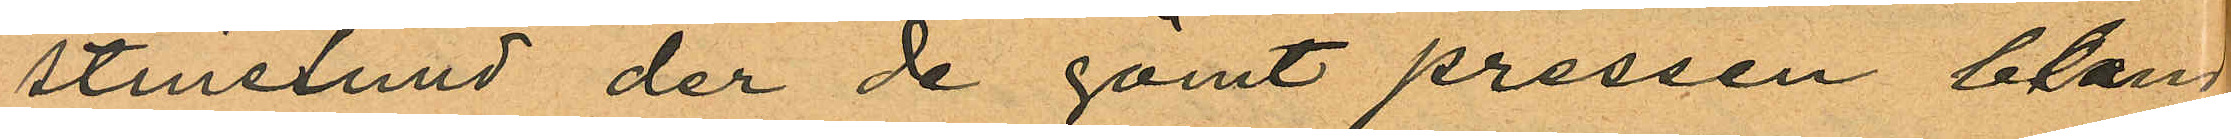stinelund der de gömt pressen, blan
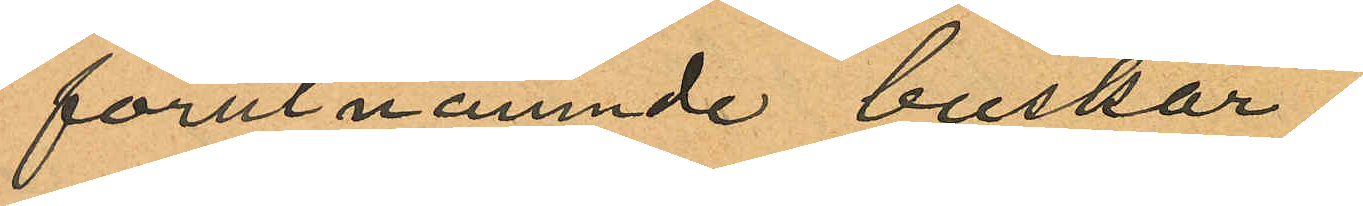förutnämnde buskar;
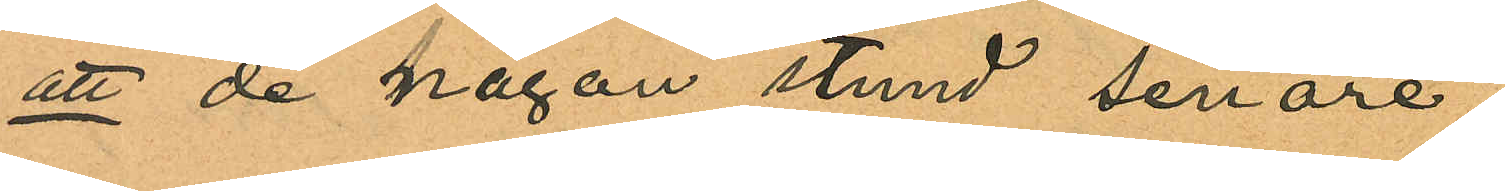att de någon stund senare
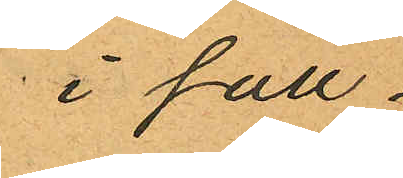i säll¬
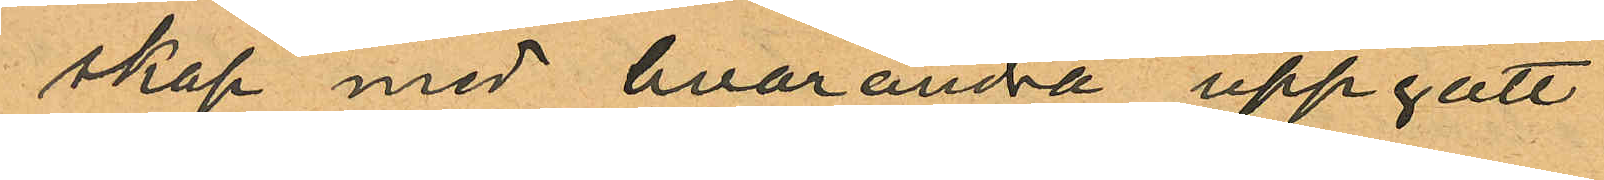skap med hvarandra uppgått
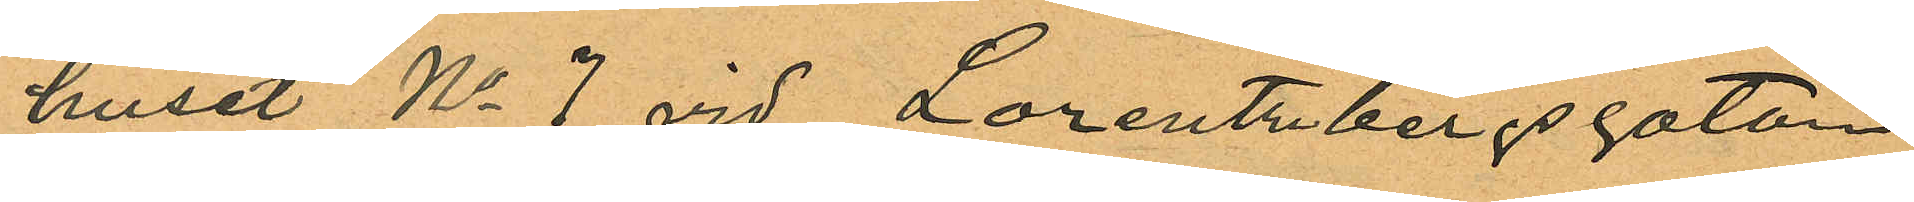huset No 7 vid Lorentzbergsgatan;
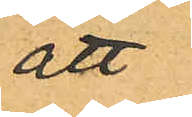att
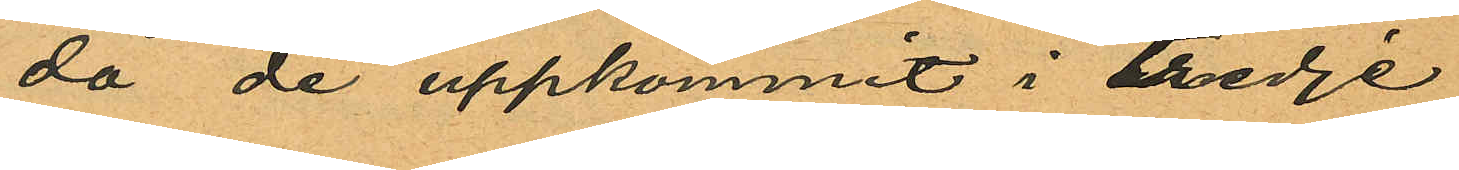då de uppkommit i tredje
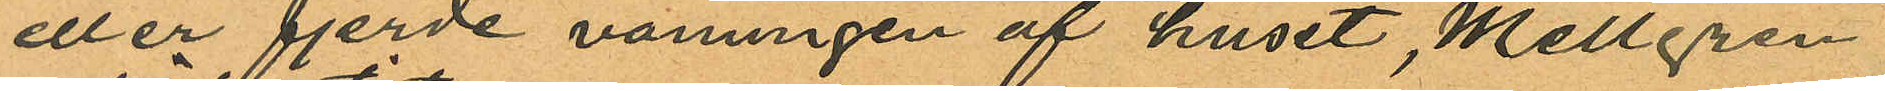eller fjerde våningen af huset, Mellgren
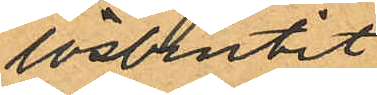lösbrutit
